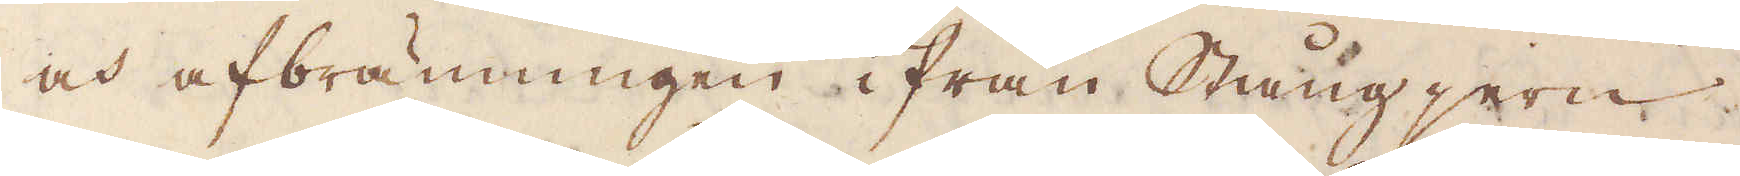och afbränningen ifrån Stångjern
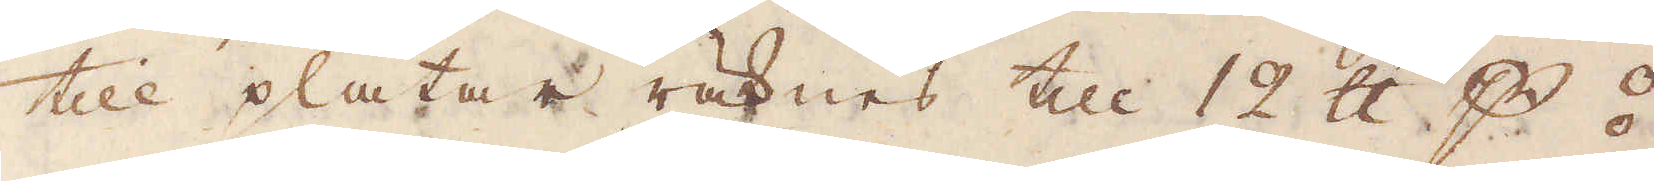till plåtar räknas till 12 skålpund p ⦂;
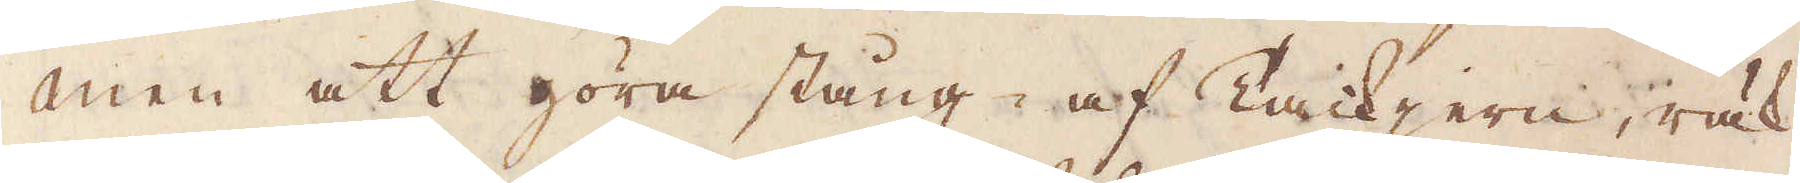men att göra stång- af Tackjern, räk-
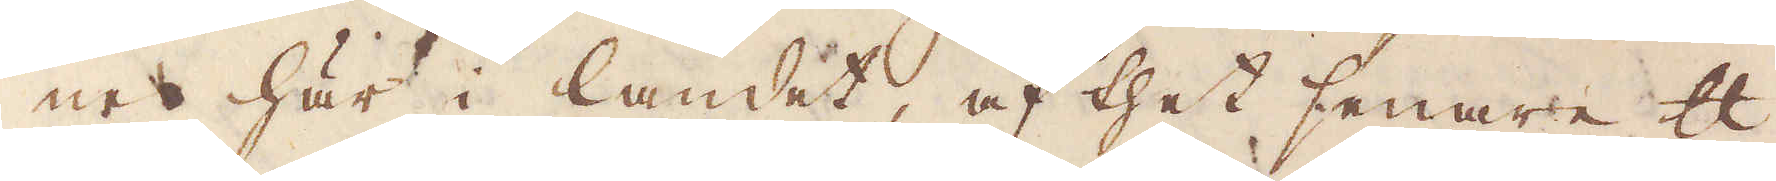nes här i landet, af thet senare skålpund
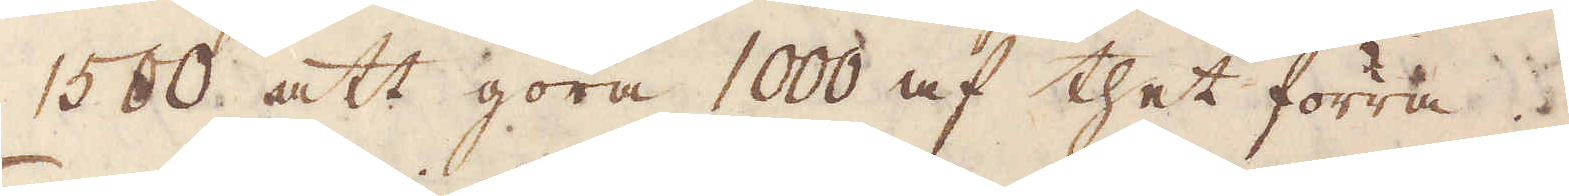1500 att göra 1000 af thet förra.
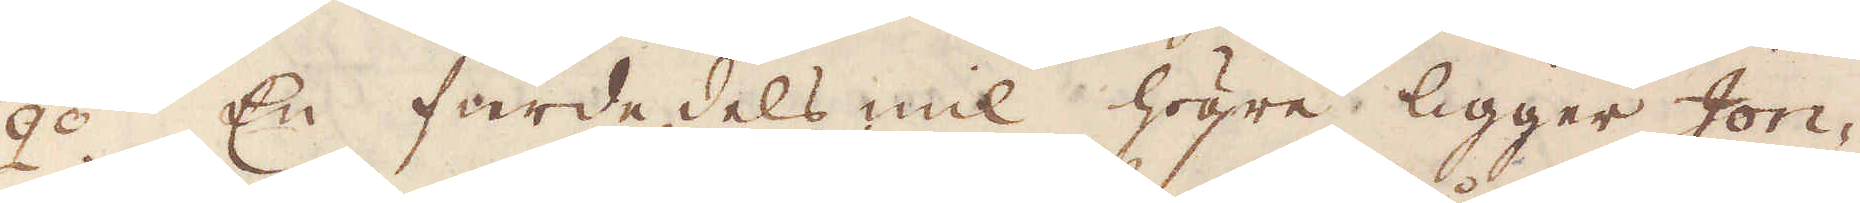2:o En fierdedels mil högre ligger Jon-
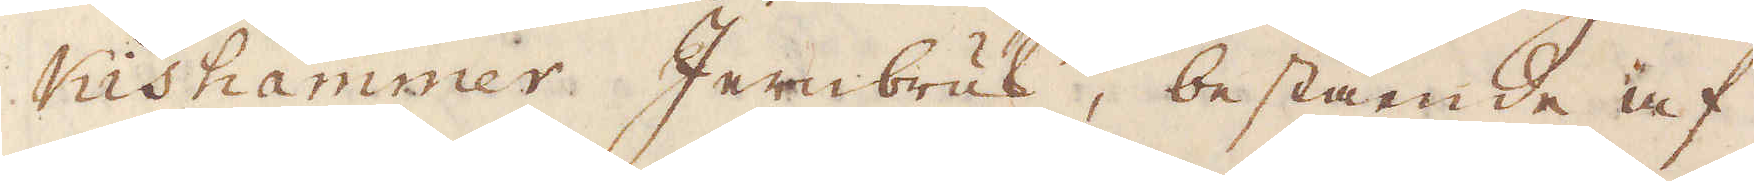Kishammer Jernbruk, bestående af
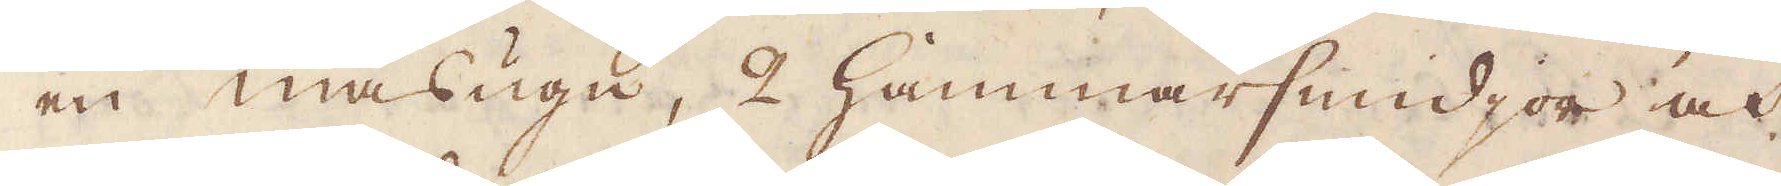en masugn, 2 hammarsmidjor och
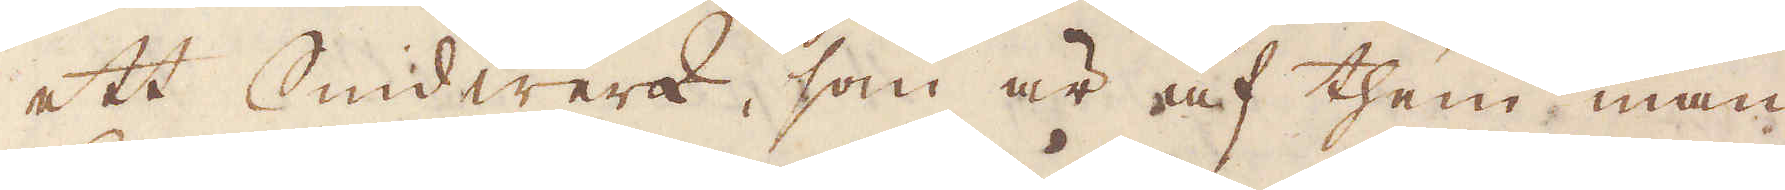ett Smidwerk, som är af them man
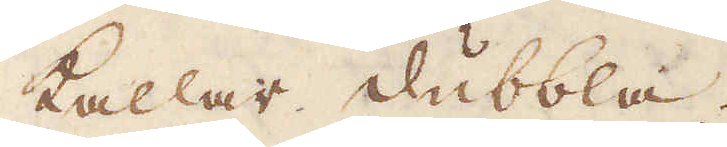kallar dubbla.
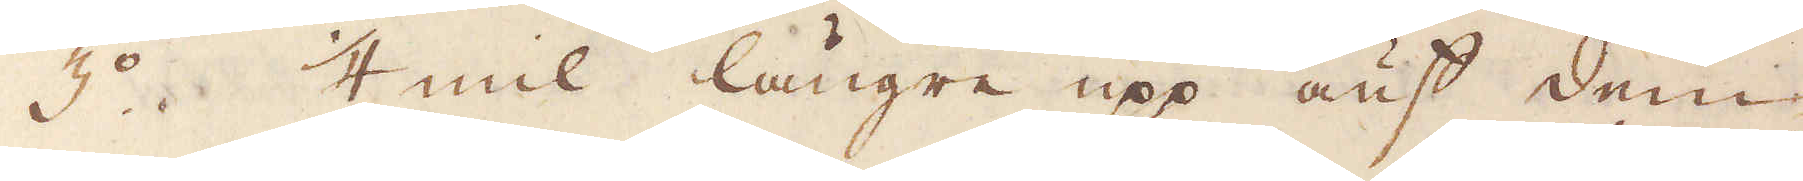3:o 1/4 mil längre upp auf dem
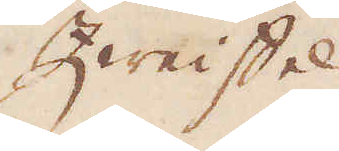Zweistel
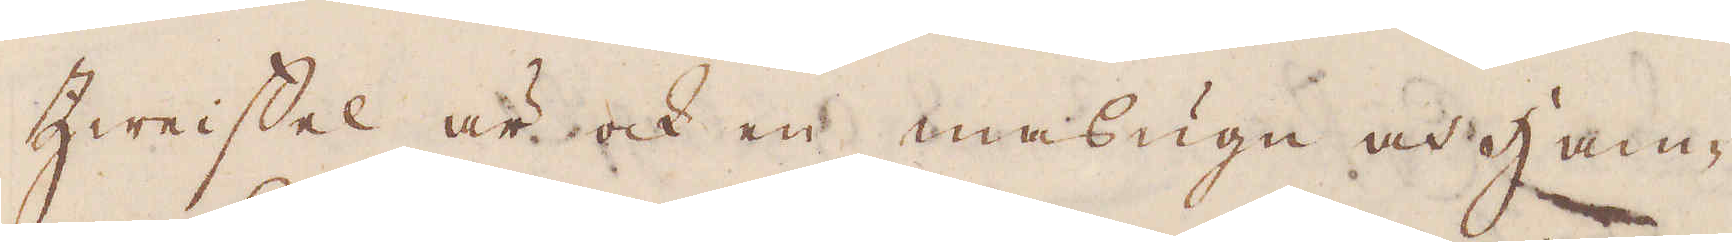Zweistel är ock en masugn och Ham-
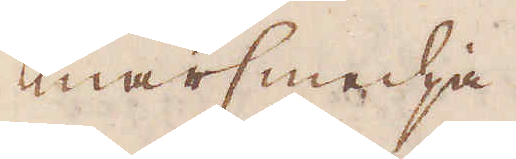marsmedja.
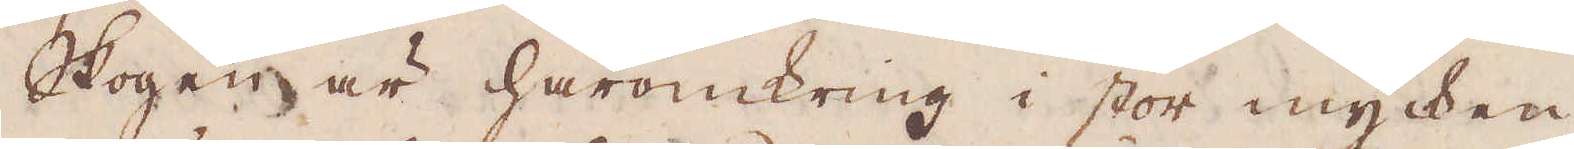Skogen är häromkring i stor mycken-
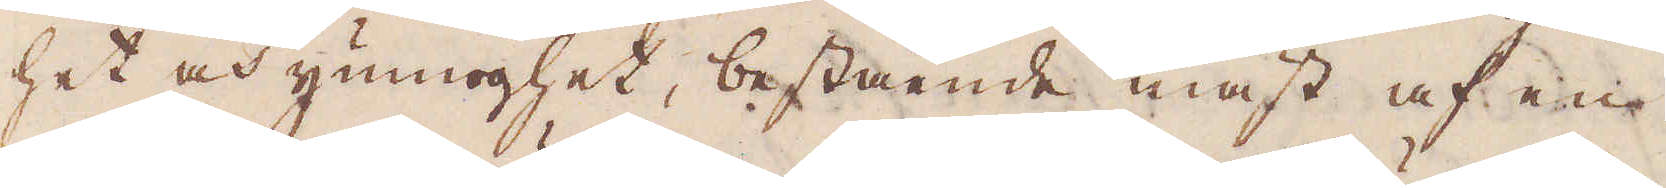het och ymnoghet, bestående mäst af en
